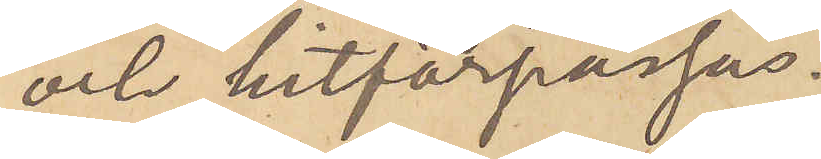och hitförpassas.
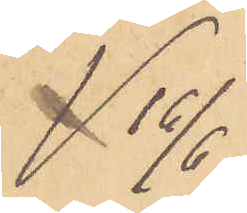16/6
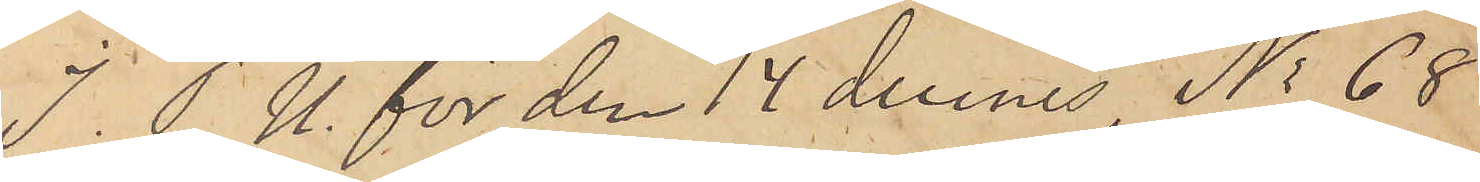I. P. U. för den 14 dennes, No 68
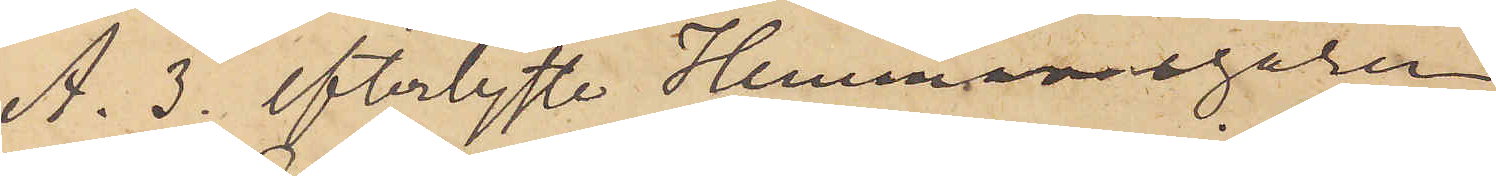A. 3. efterlyste Hemmansegaren
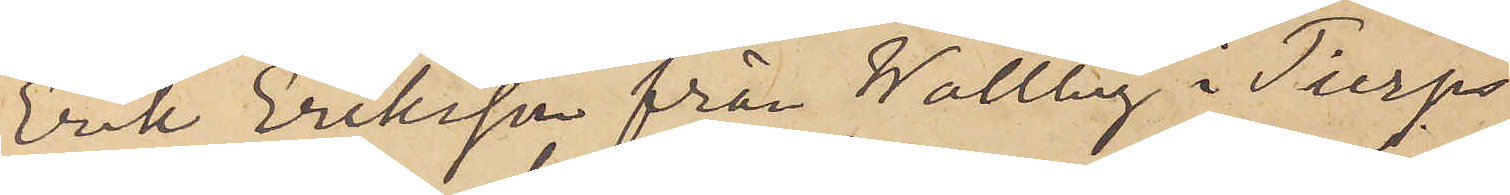Erik Eriksson från Wallby i Tierps
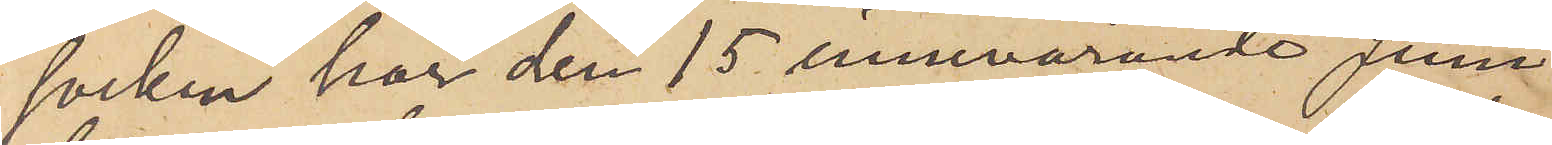socken har den 15 innevarande Juni
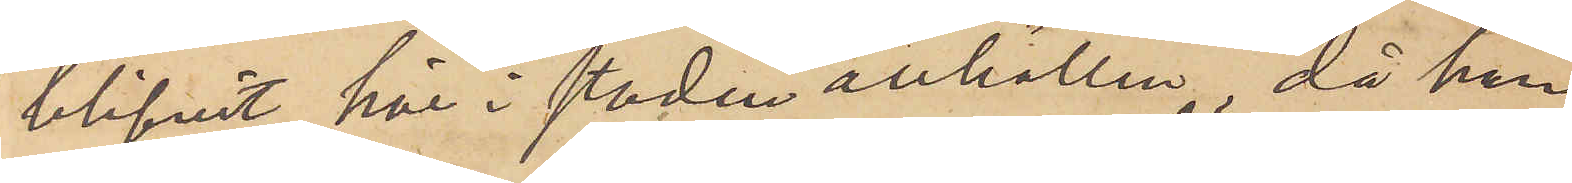blifvit här i staden anhållen, då han
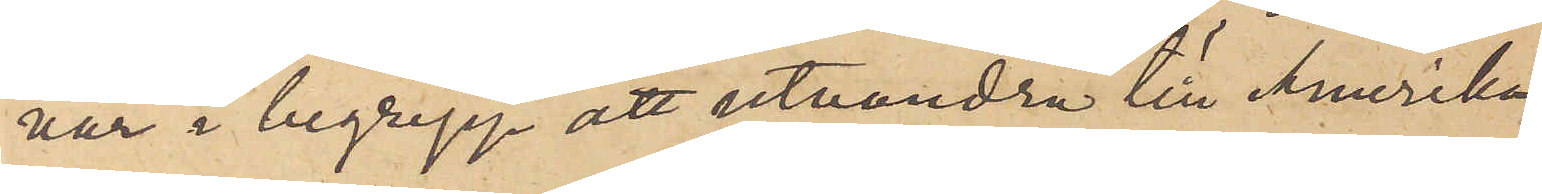var i begrepp att utvandra till Amerika
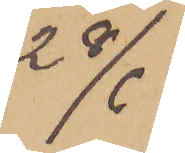28/6
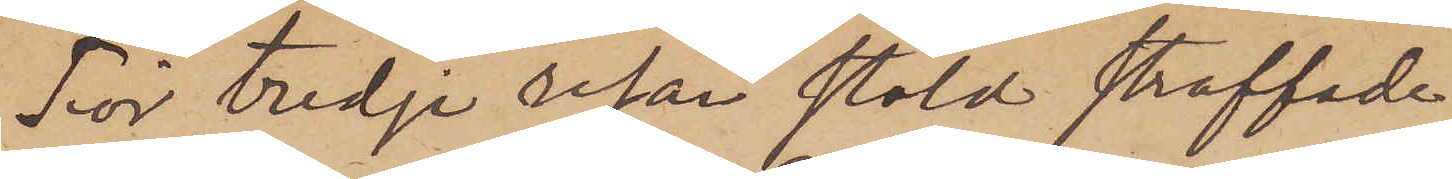för tredje resan stöld straffade
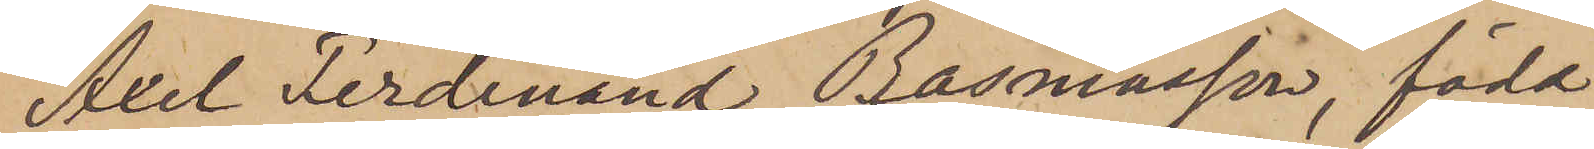Axel Ferdinand Rasmusson, född
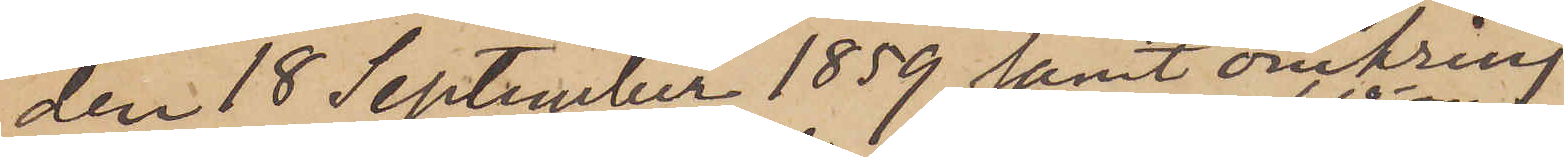den 18 September 1859 samt omkring
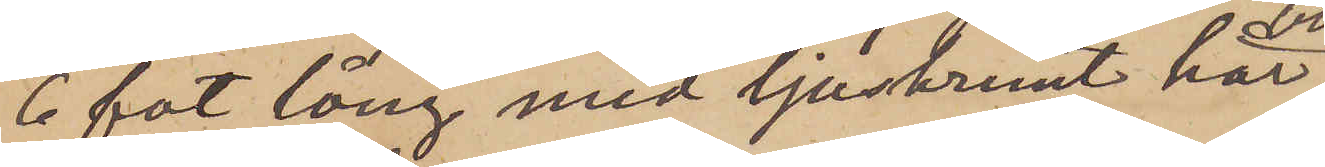6 fot lång med ljusbrunt hår,
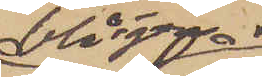blå ögon,
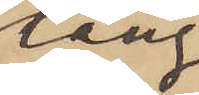lång¬
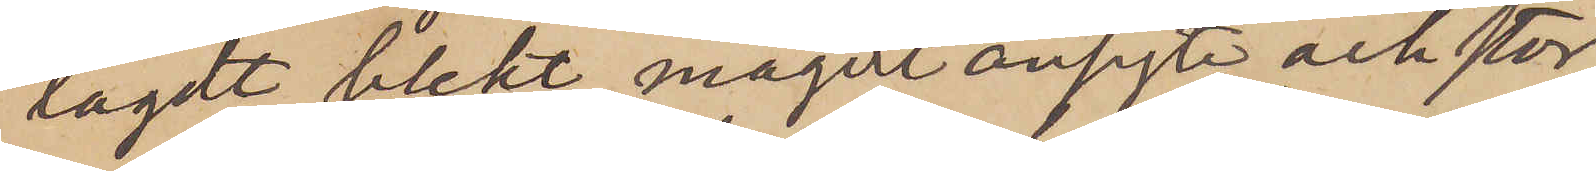lagdt, blekt, magert ansigte och stor
